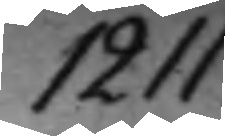1211.
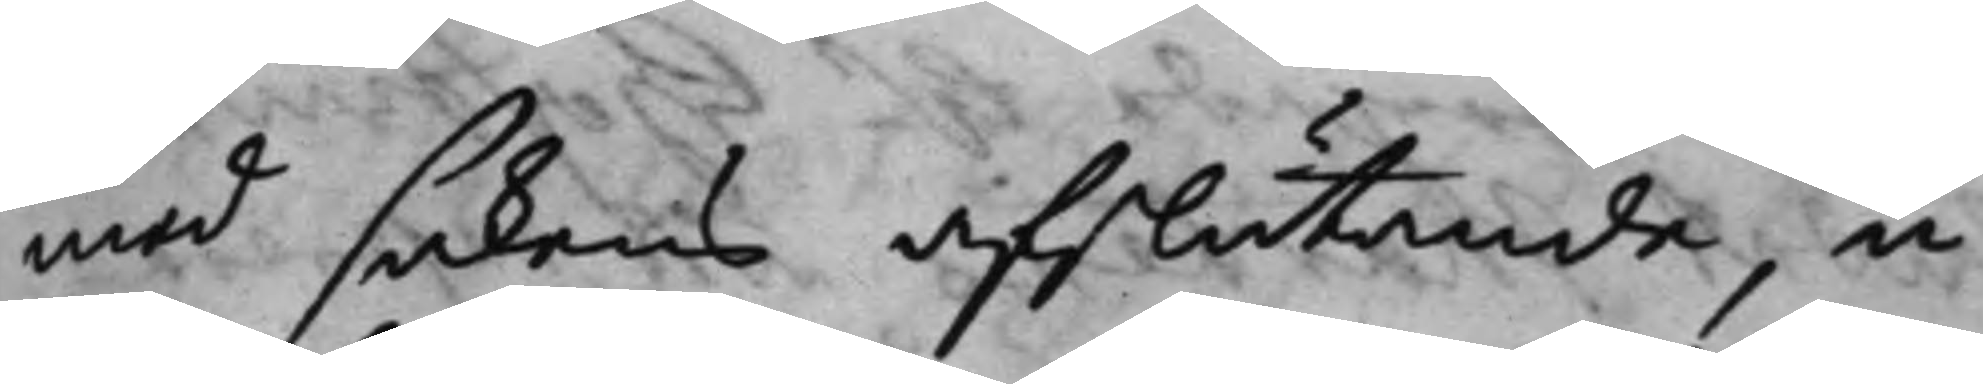med sakens afslutande, u¬
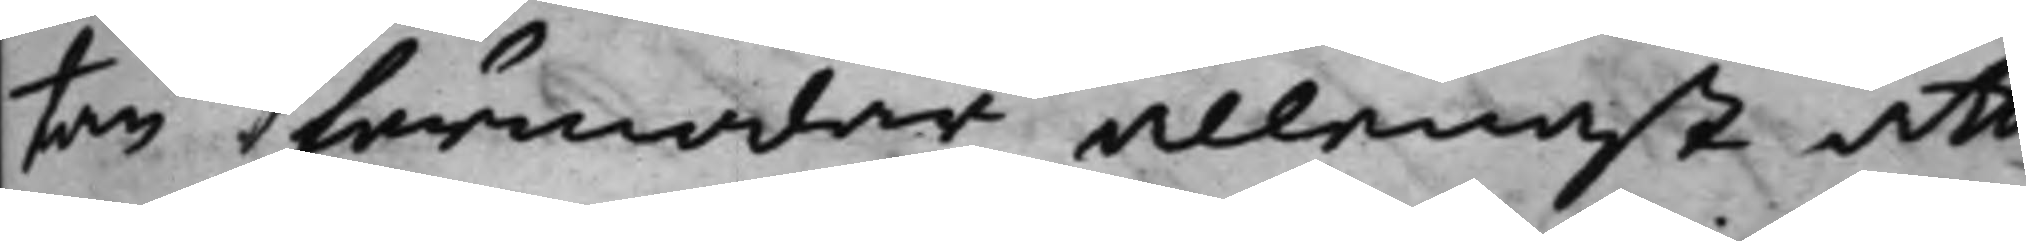tan förmodar allenast att
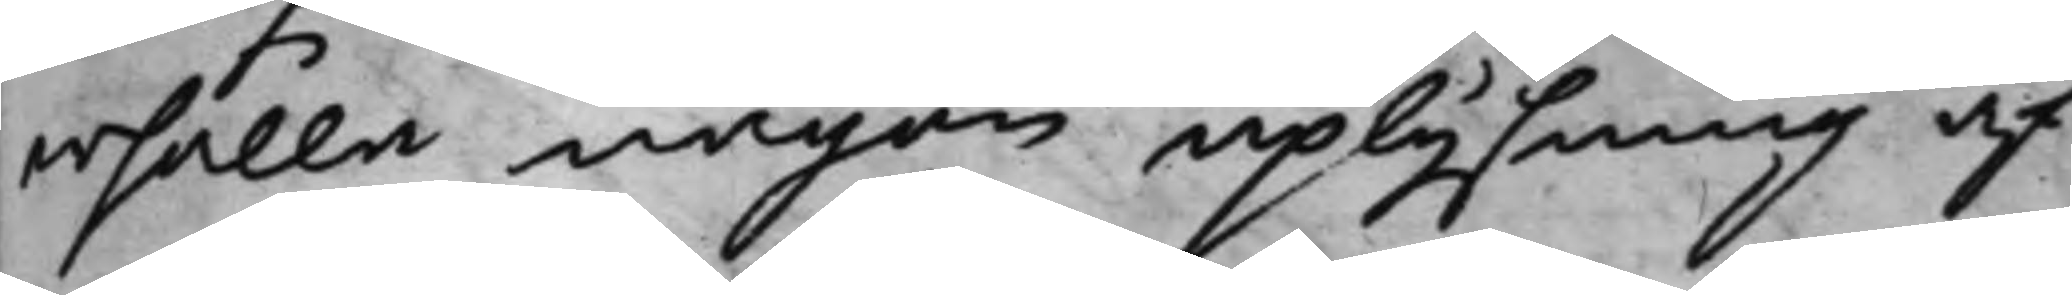erhålla någon uplysning af
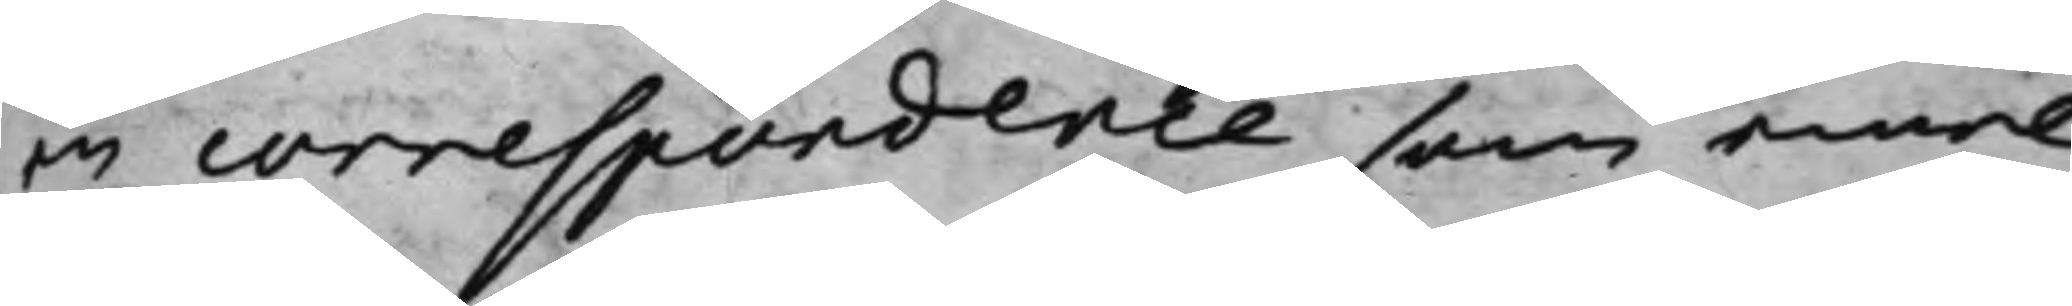en correspondence som emel¬
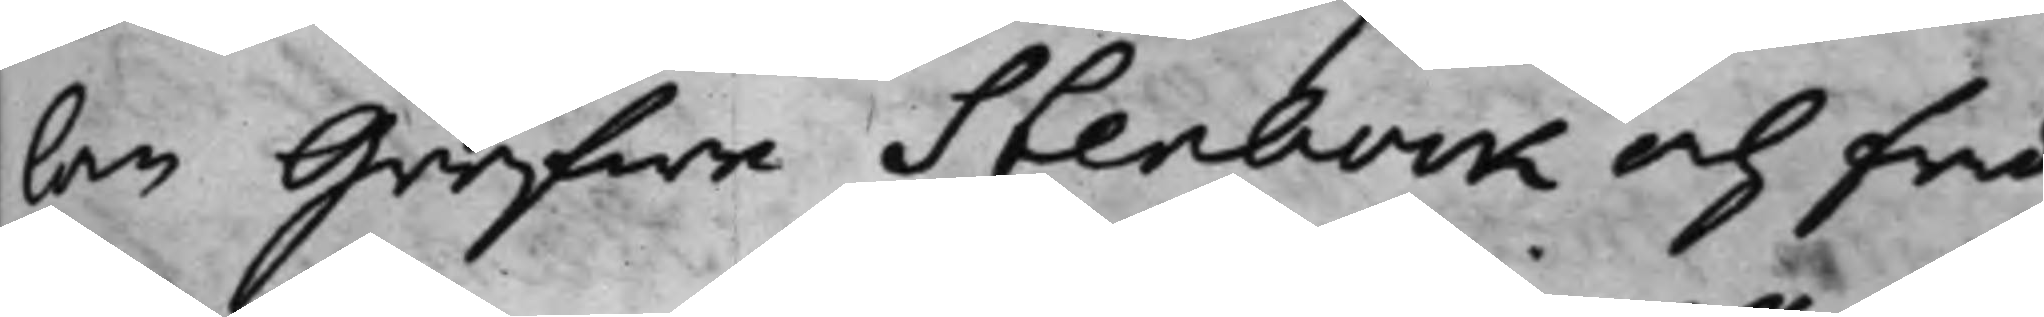lan Grefwe Stenbock och fru
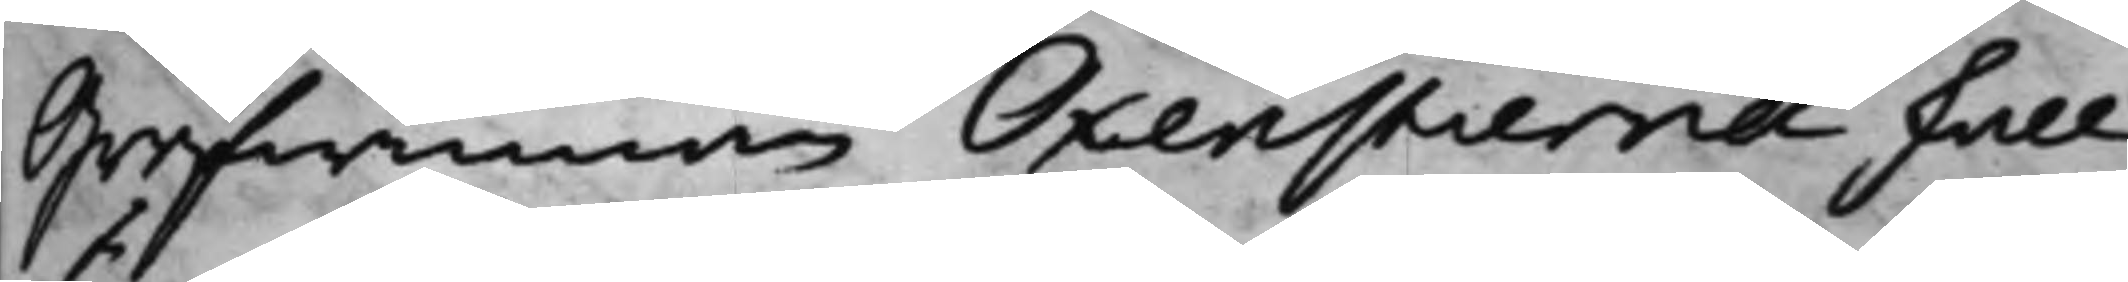Grefwinnan Oxenstierna skall
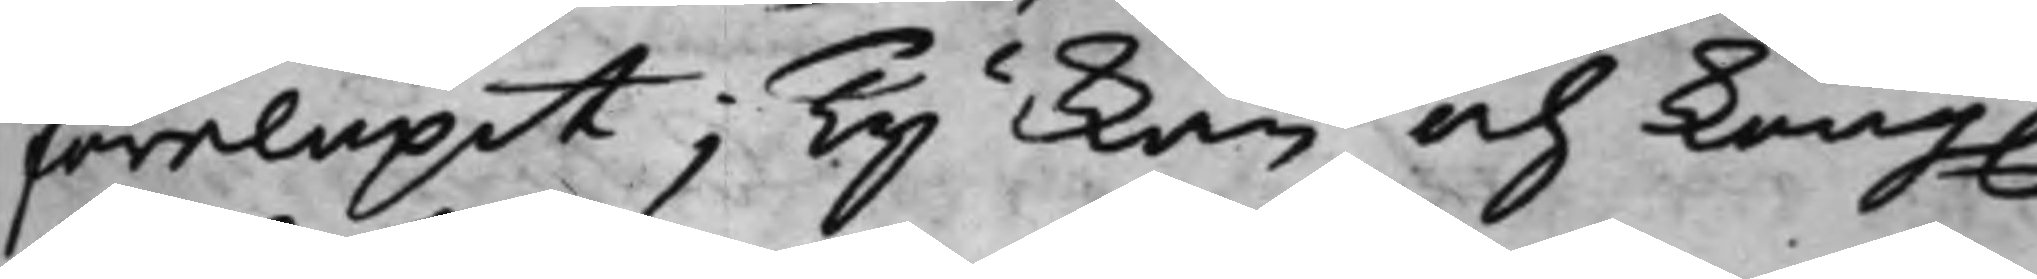förelupit; Ty kan och Kong:
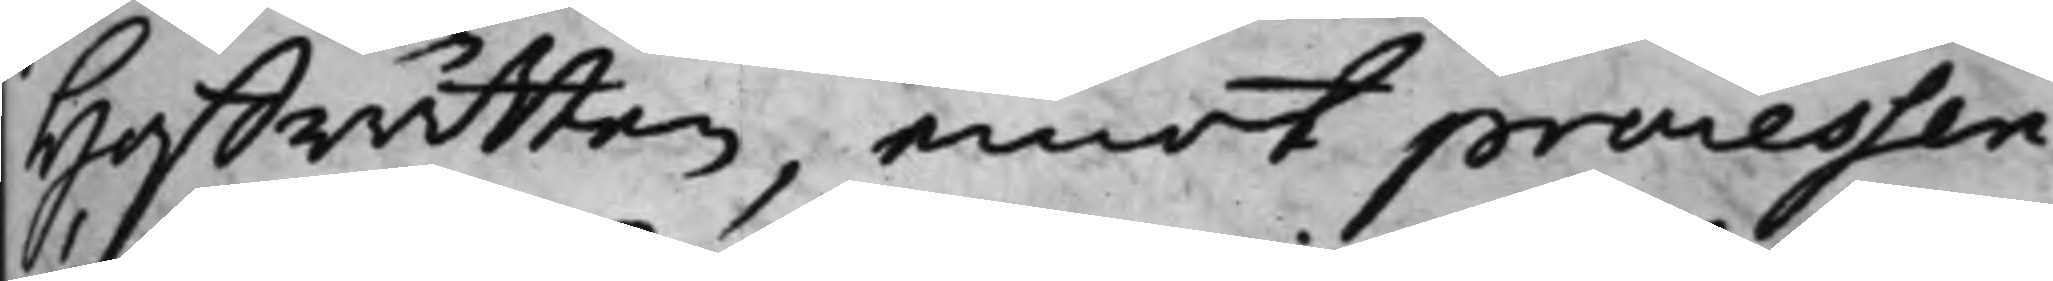Hoffrätten, emot processen,
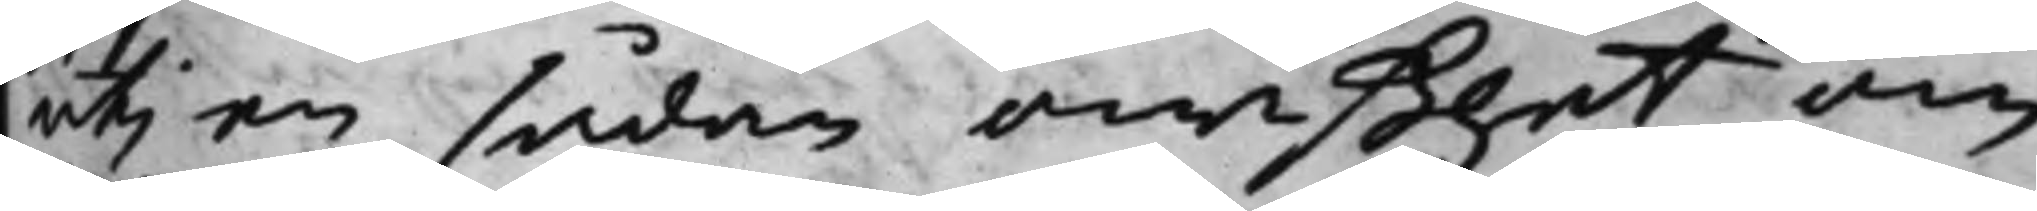uti en sådan owißhet, om
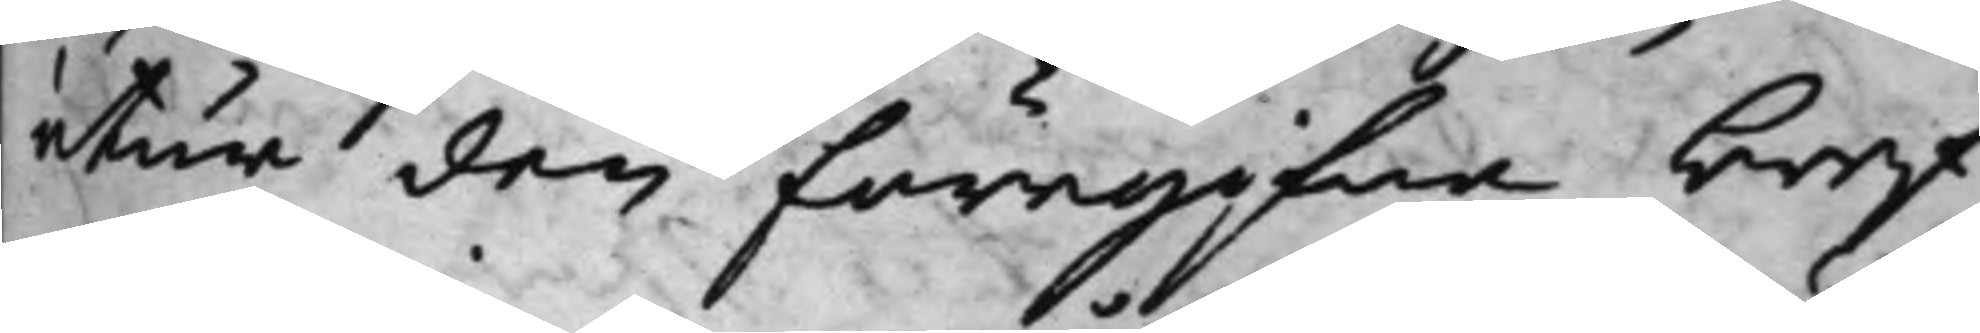utur den föregifna bref¬
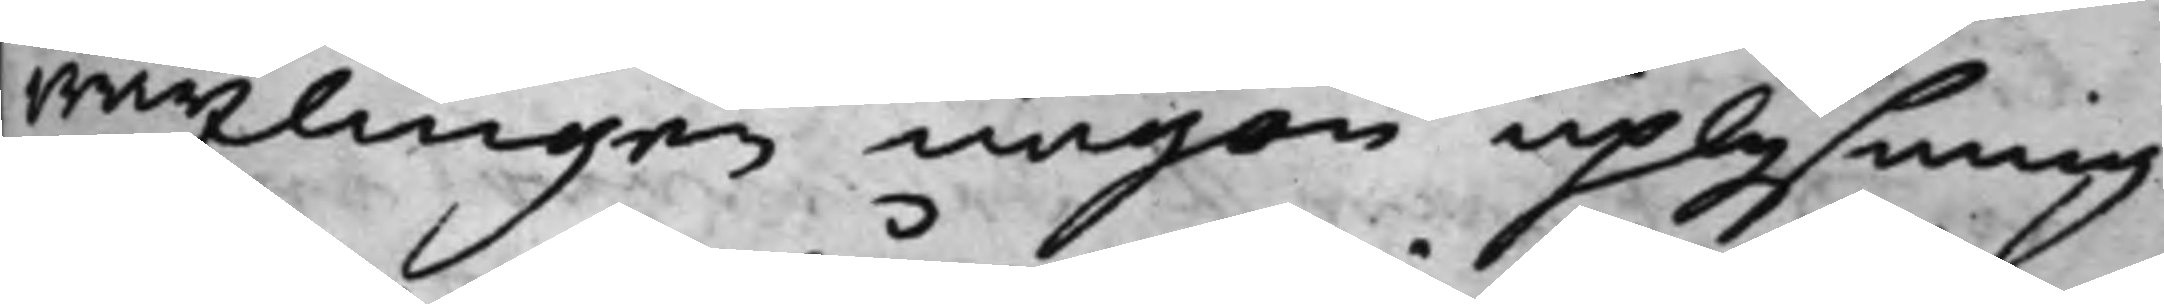wäxlingen någon uplysning
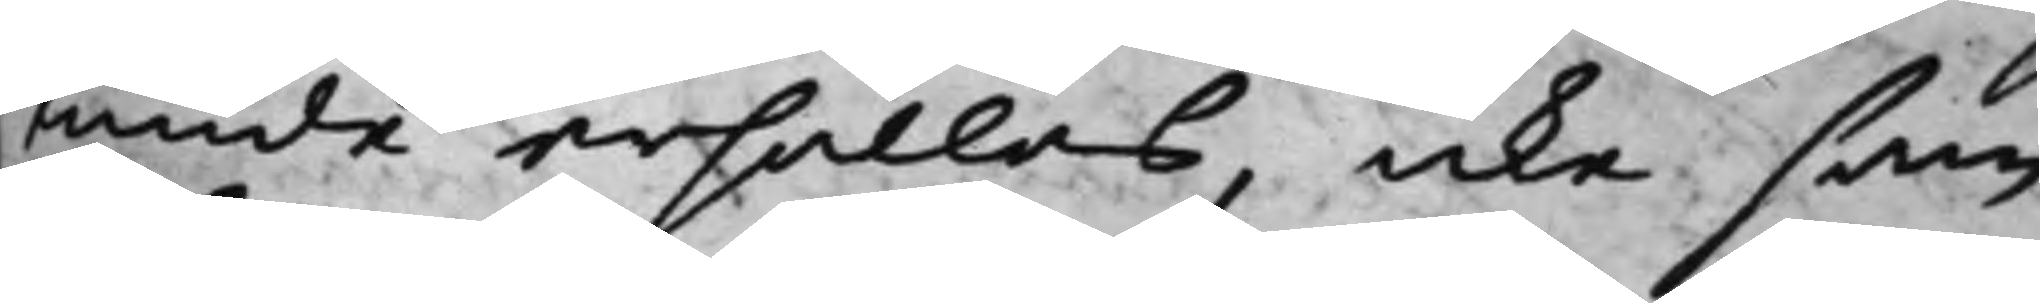kunde erhållas, icke sam¬
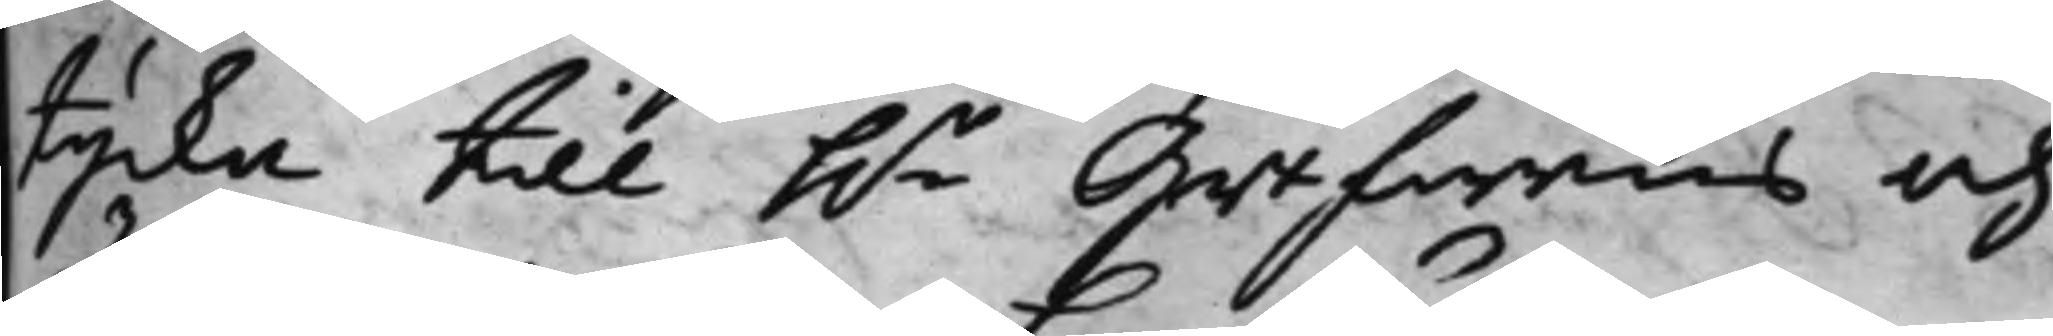tycka till h.r Grefwens och
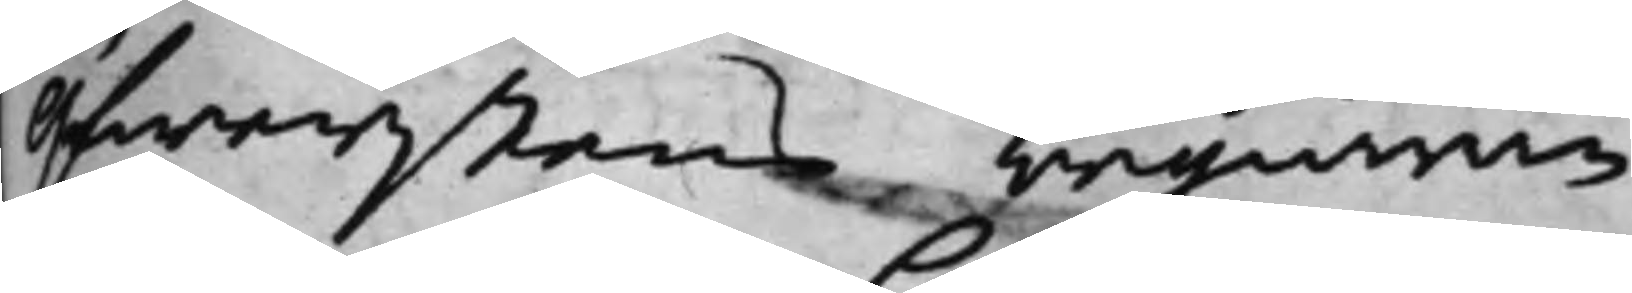Öfwerstens begiäran.
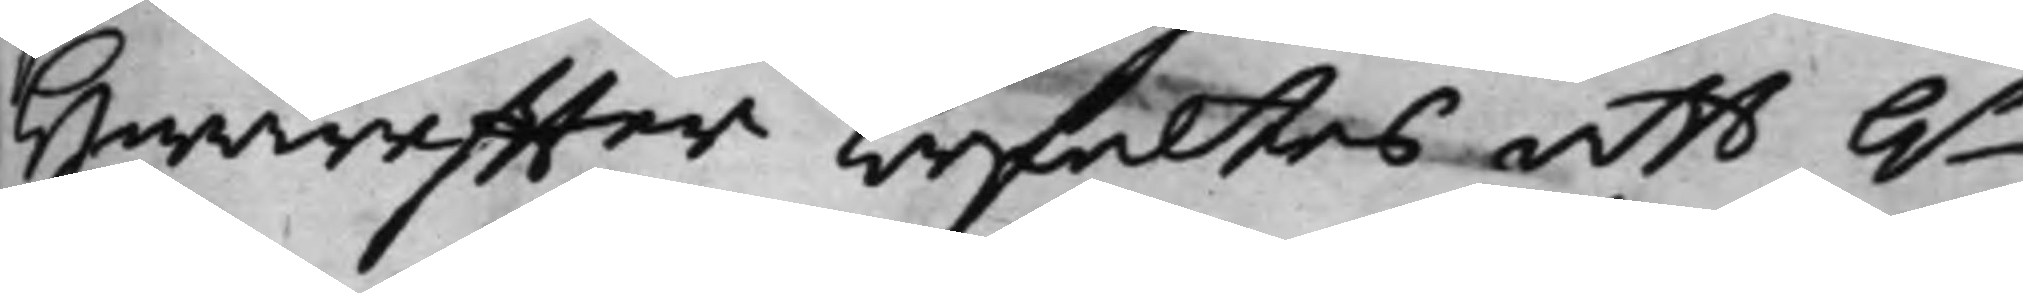Hwareffter befaltes att h.r
